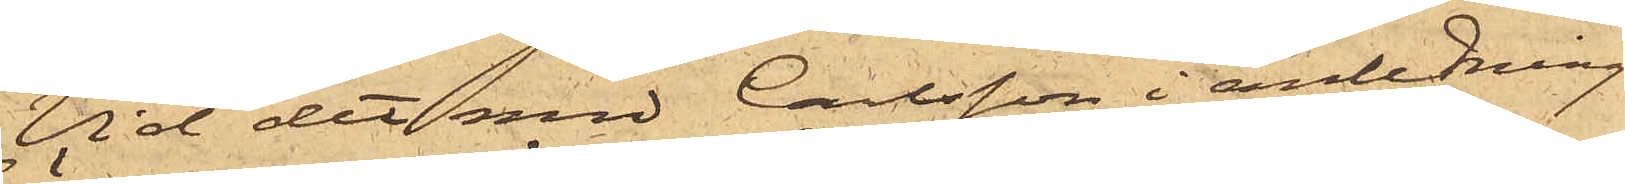Vid det med Carlsson i anledning
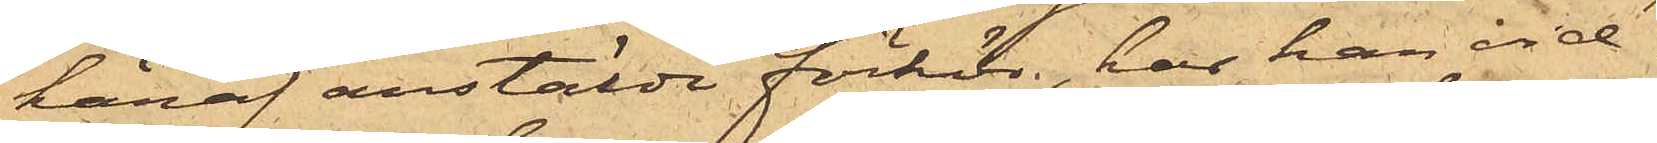häraf anstälde förhör, har han vid¬
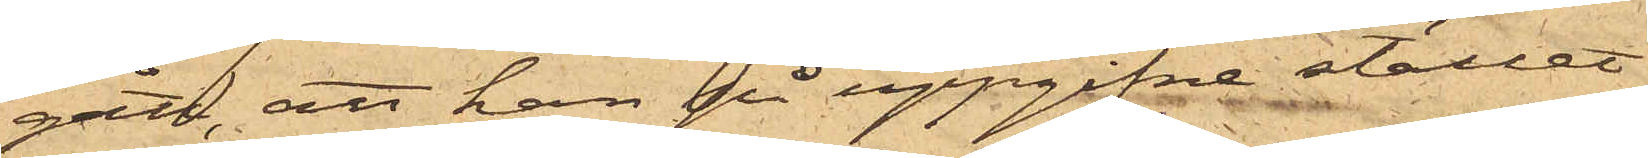gått, att han på uppgifne stället
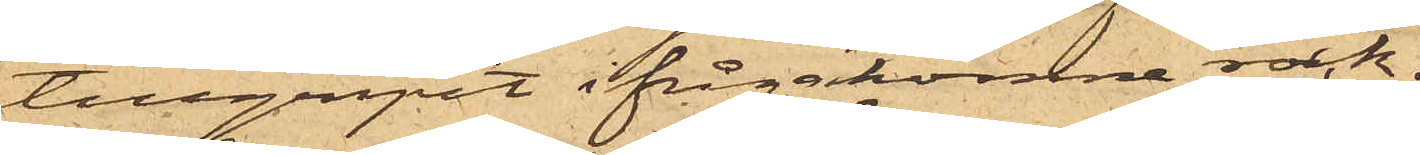tillgripit ifrågakomne rock.
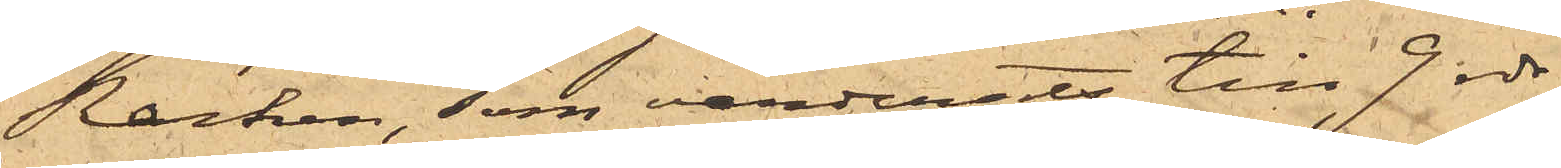Rocken, som värderats till 9 rdr,
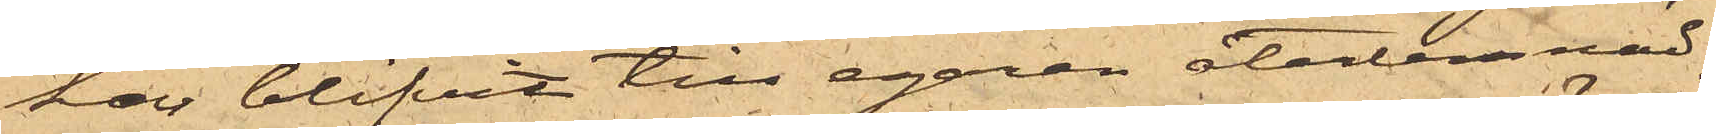har blifvit till egaren återlemnad.
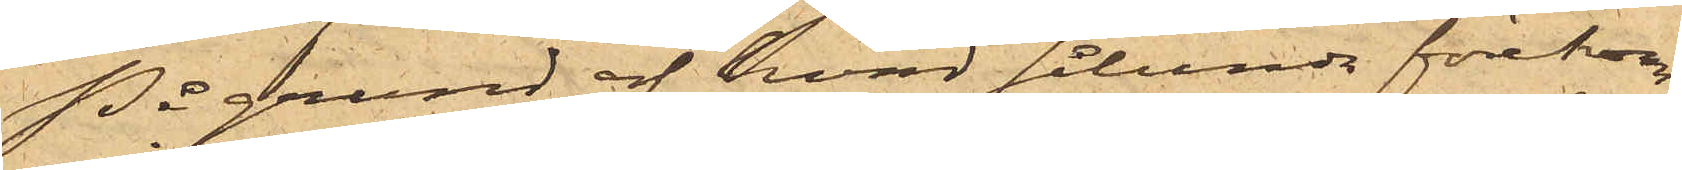På grund af hvad sålunda förekom¬
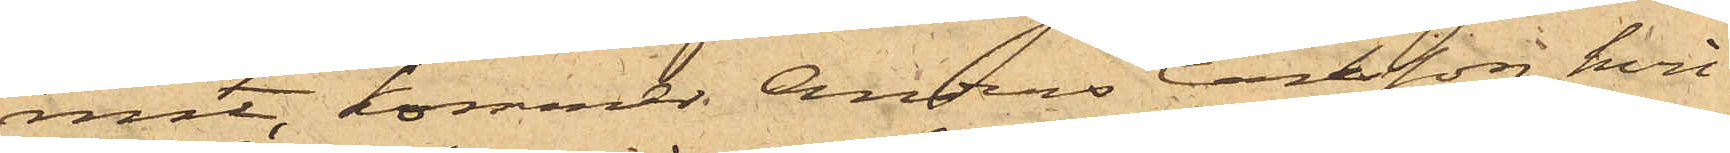mit, kommer Anders Carsson, hvil¬
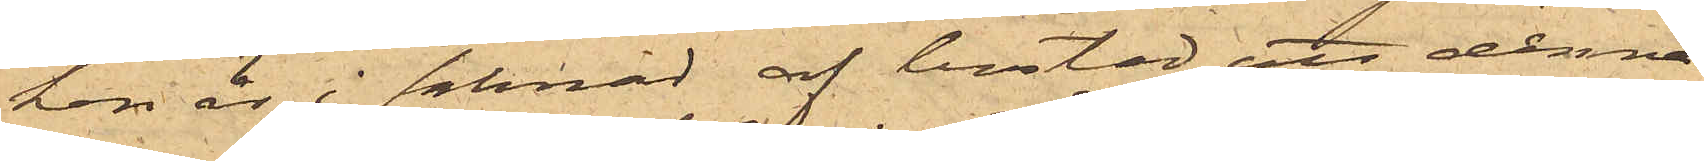ken är i saknad af bostad, att denna
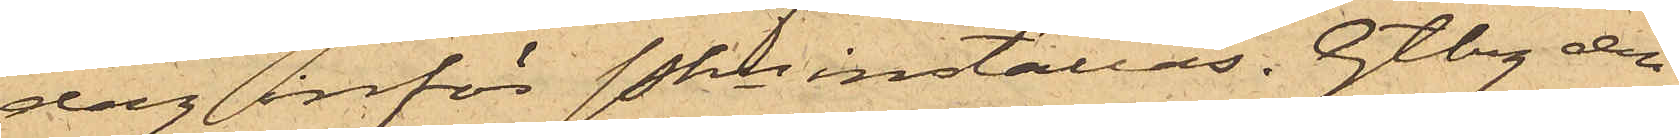dag inför Pkn inställas. Gtbrg den
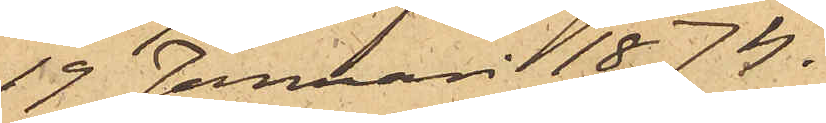19 Januari 1874.
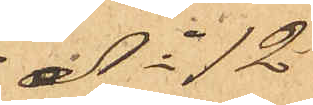No 12
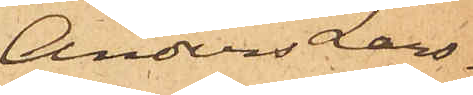Anders Lars¬
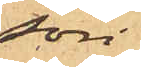son
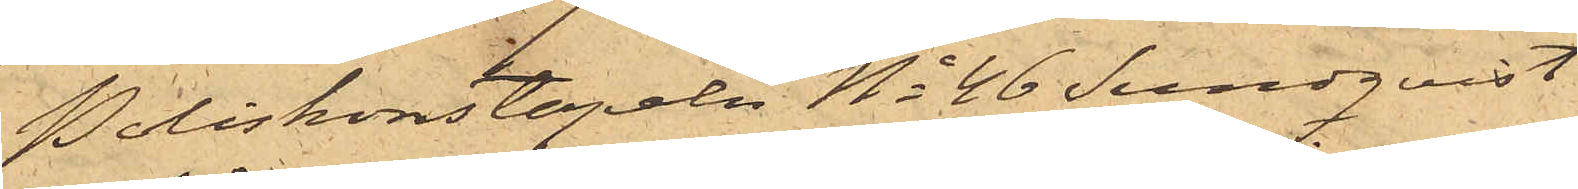Poliskonstapeln No 46 Sundqvist
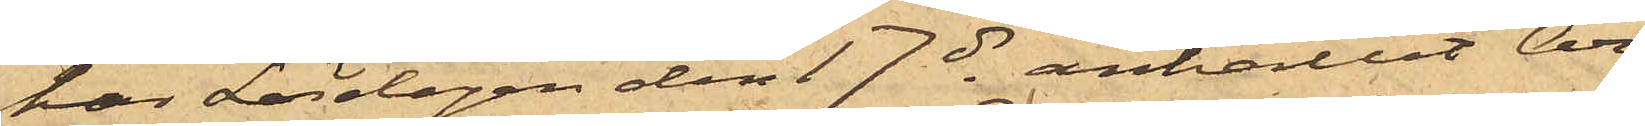har Lördagen den 17 ds anhållit Ar¬
